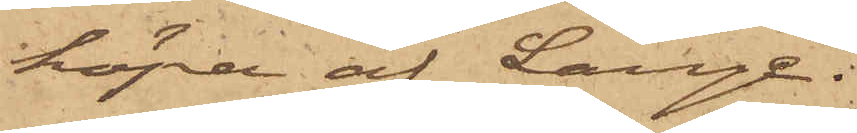köpa af Lange.
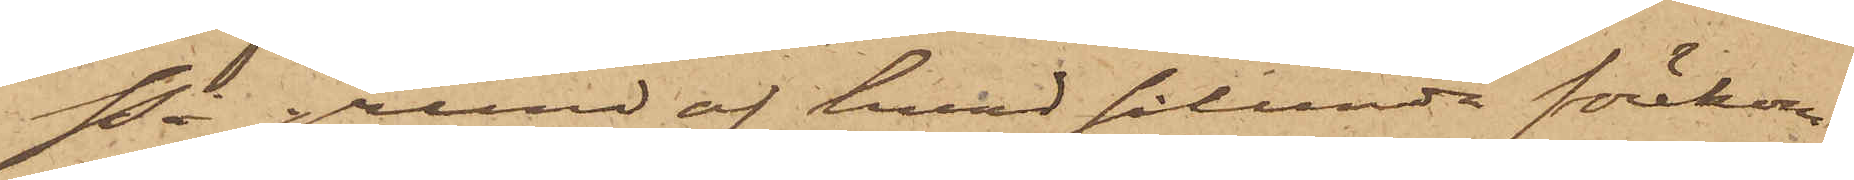På grund af hvad sålunda förekom¬
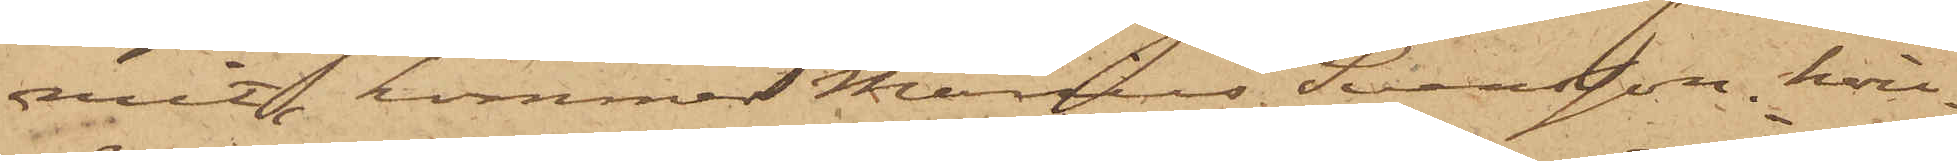mit, kommer Marius Svensson, hvil¬
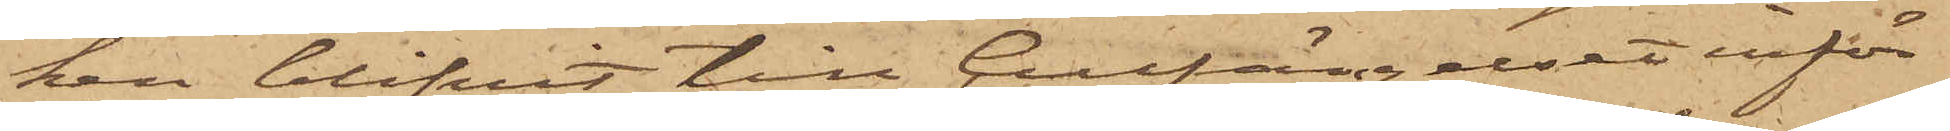ken blifvit till Cellfängelset inför¬
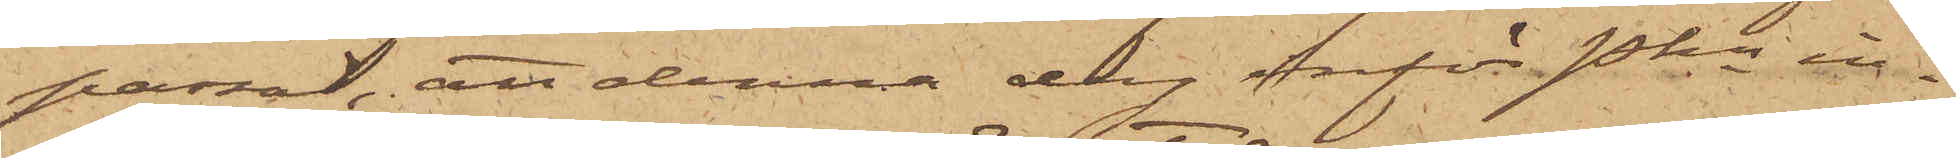passad, att denna dag inför Pkn in¬
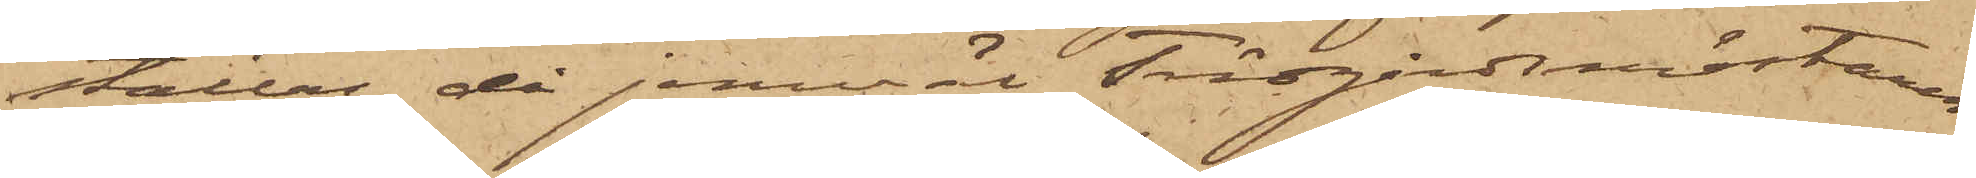ställas, då jemväl Trädgårdsmästaren
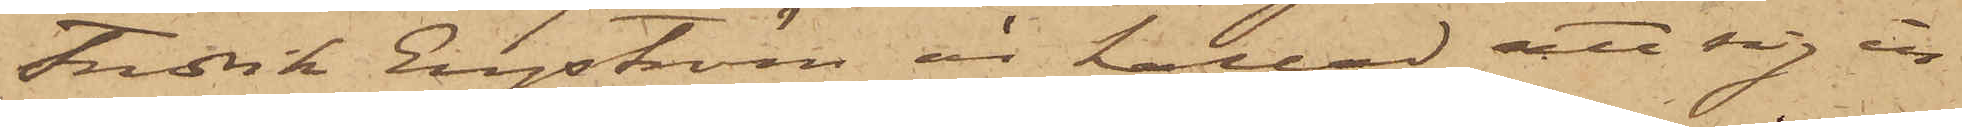Fredrik Engström är kallad att sig in¬
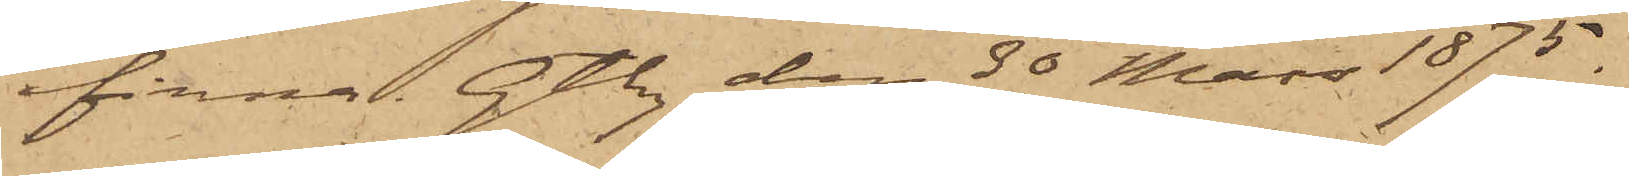finna. Gtbg den 30 Mars 1875.
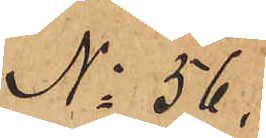No 56.
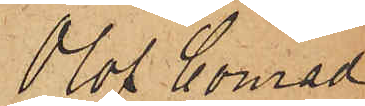Olof Conrad
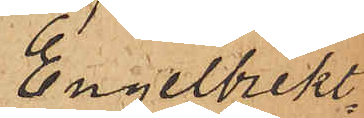Engelbrekt¬
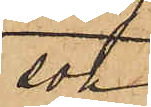son
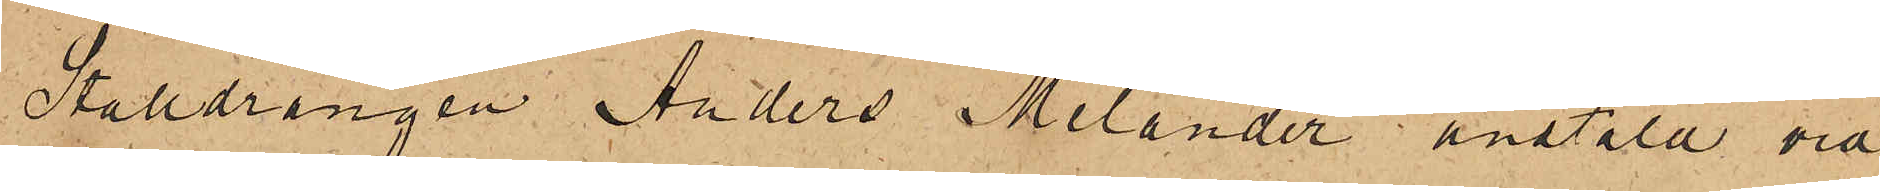Stalldrängen Anders Melander anstäld vid
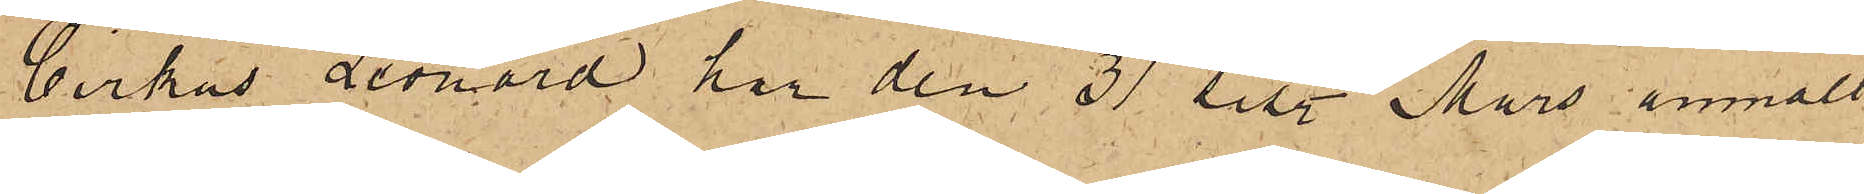Cirkus Leonard har den 31 sist. Mars anmält
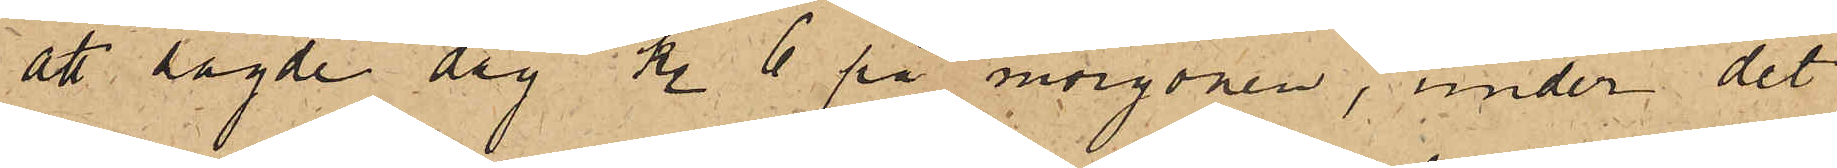att sagde dag kl. 6 på morgonen, under det
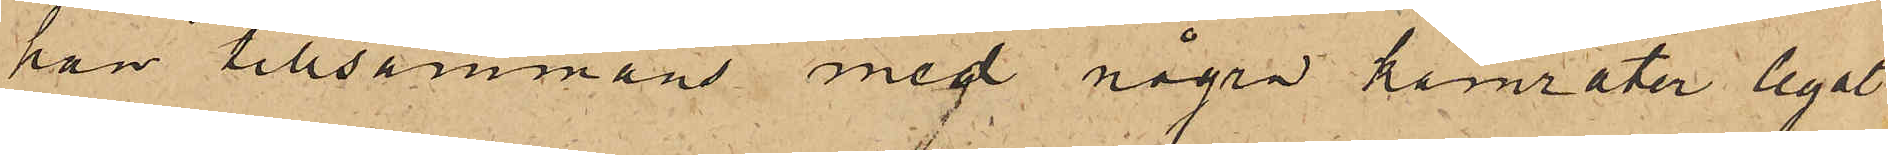han tillsammans med några kamrater legat
